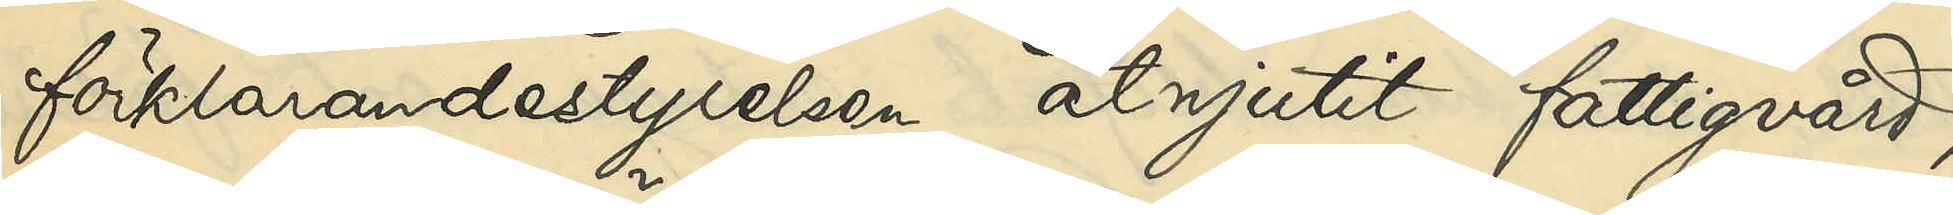förklarandestyrelsen åtnjutit fattigvård,
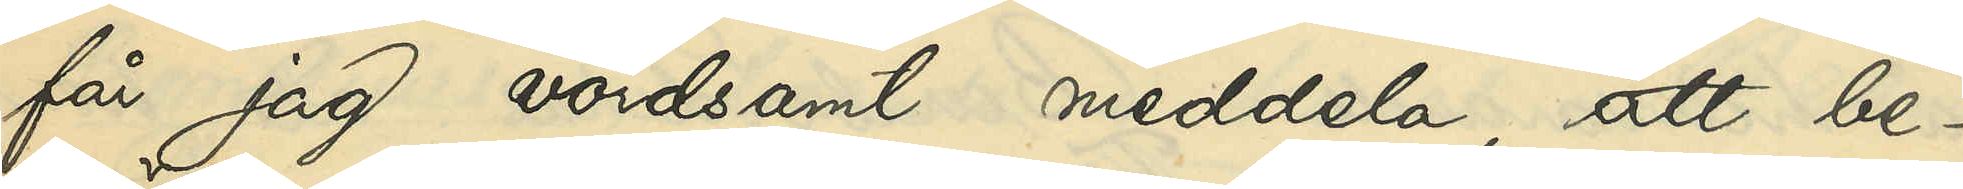får jag vördsamt meddela, att be¬
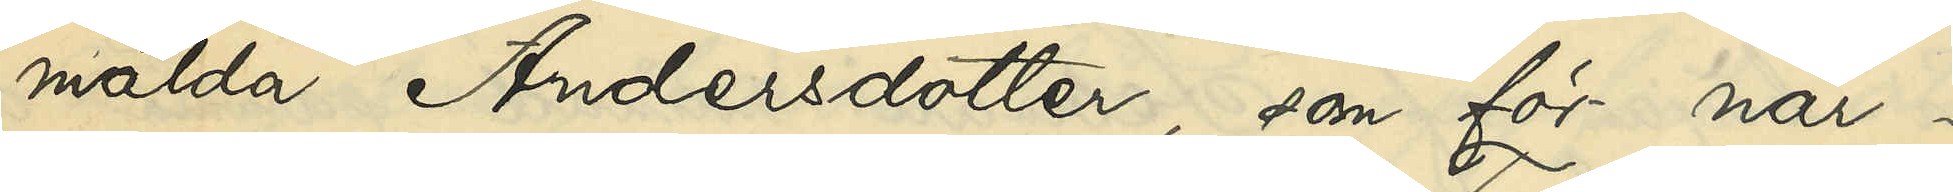mälda Andersdotter, som för när¬
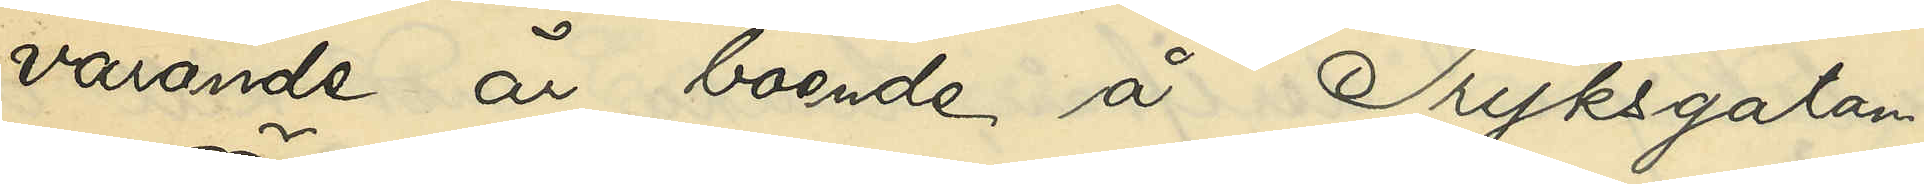varande är boende å Tryksgatan
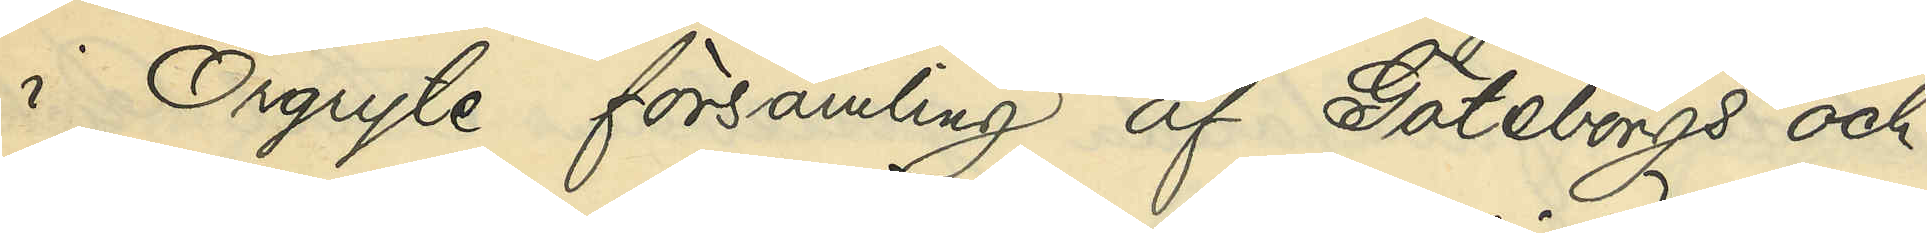i Örgryte församling af Göteborgs och
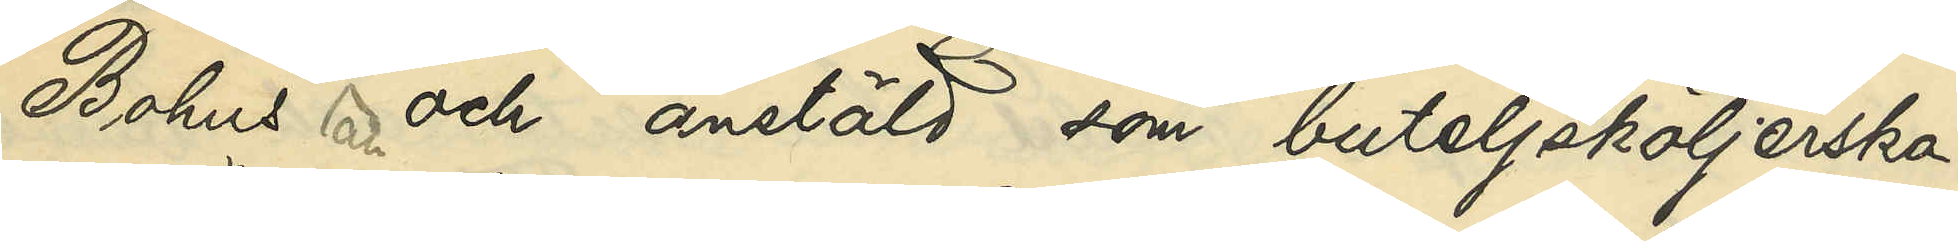Bohus län anstäld som buteljsköljerska
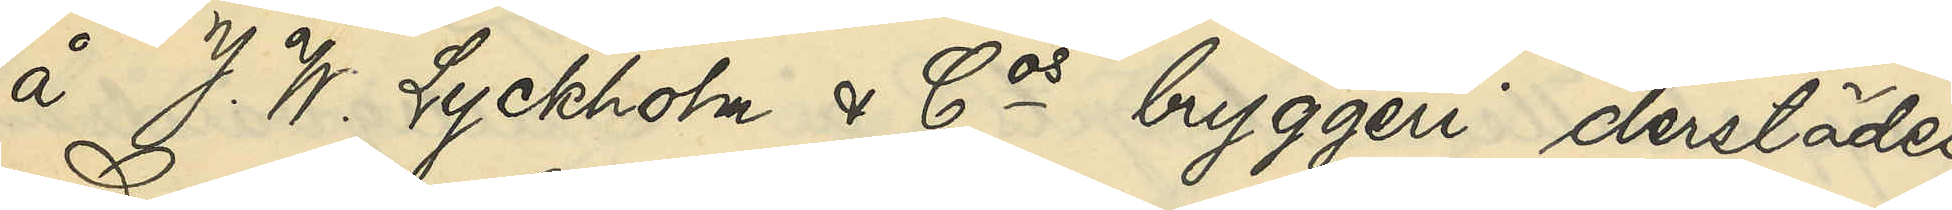å J. W. Lyckoholm & Cos bryggeri derstädes,
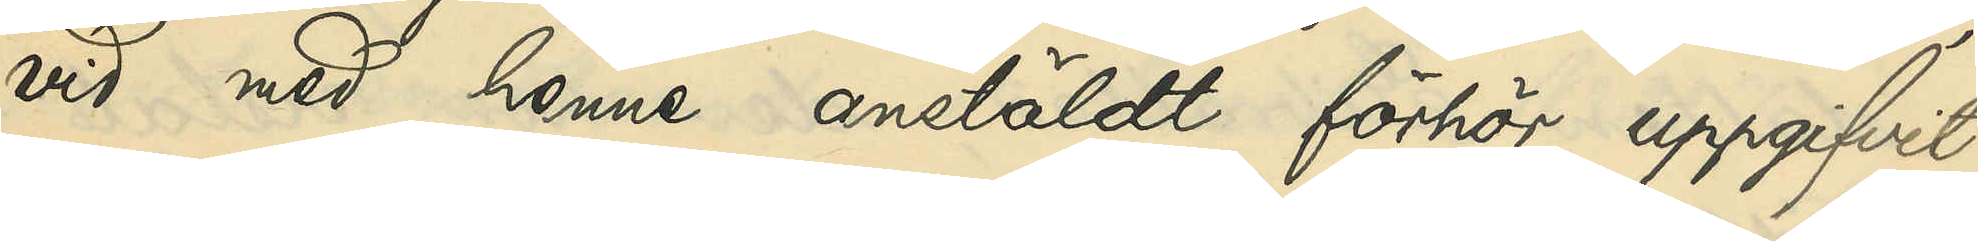vid med henne anstäldt förhör uppgifvit,
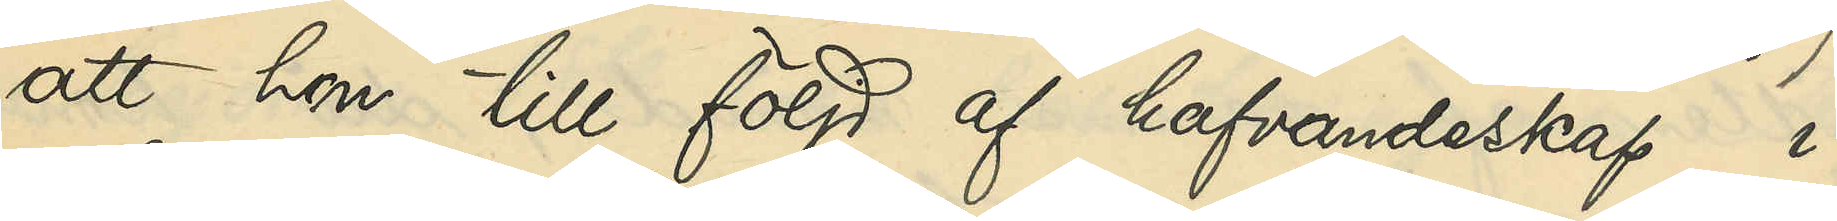att hon till följd af hafvandeskap i
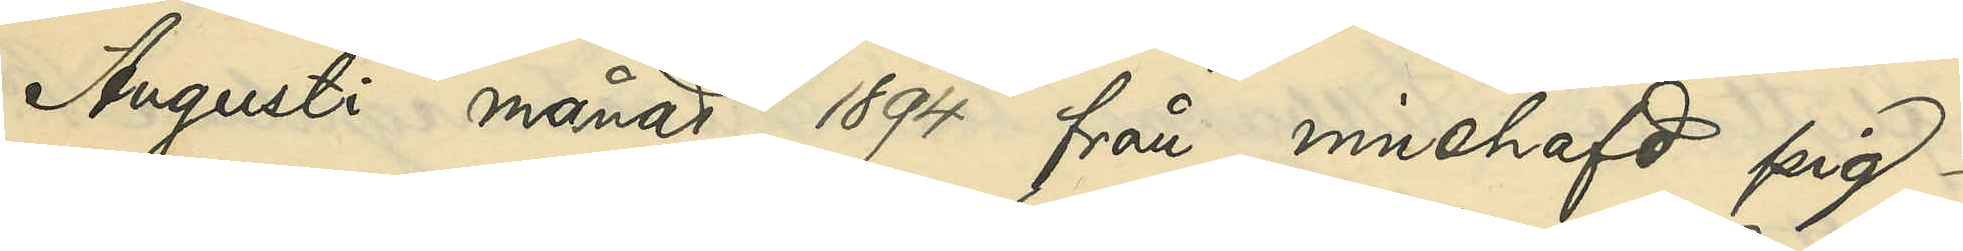Augusti månad 1894 från innehafd pig¬
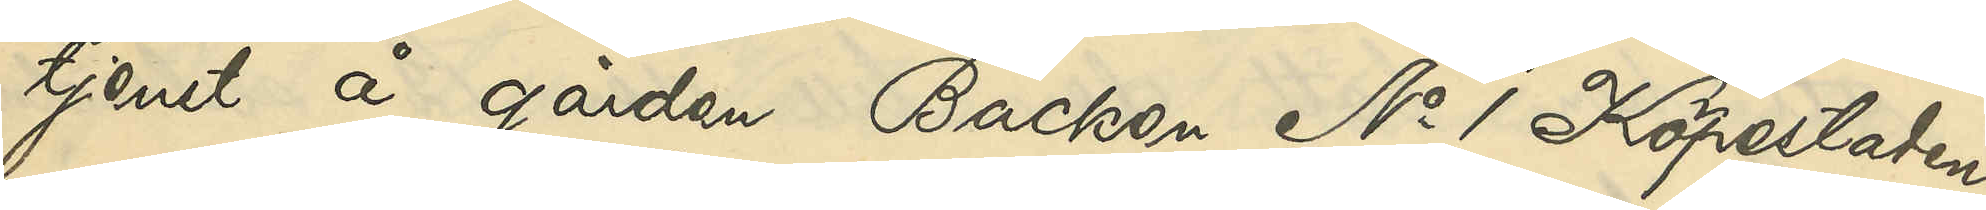tjenst å gården Backen No 1 Köpestaden
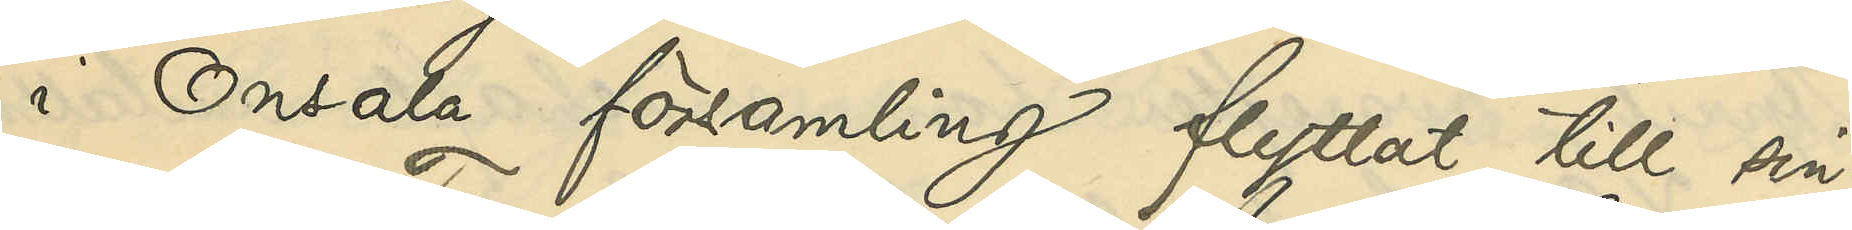i Onsala församling flyttat till sin
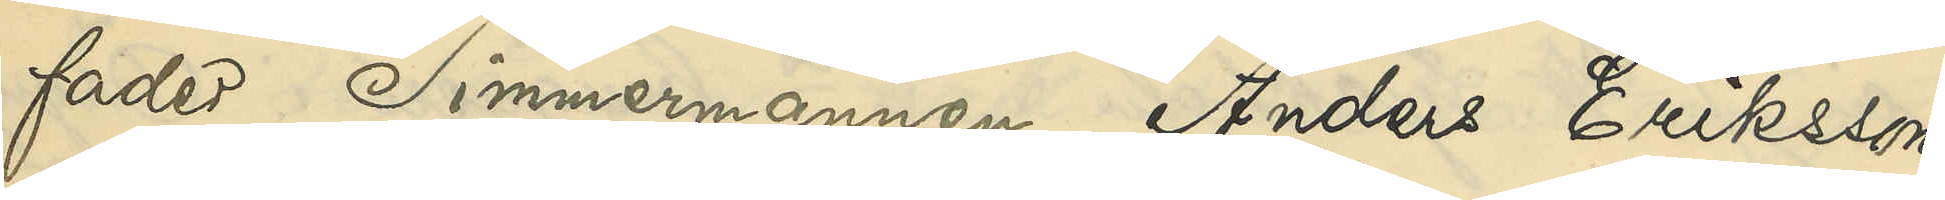fader Timmermannen Anders Eriksson
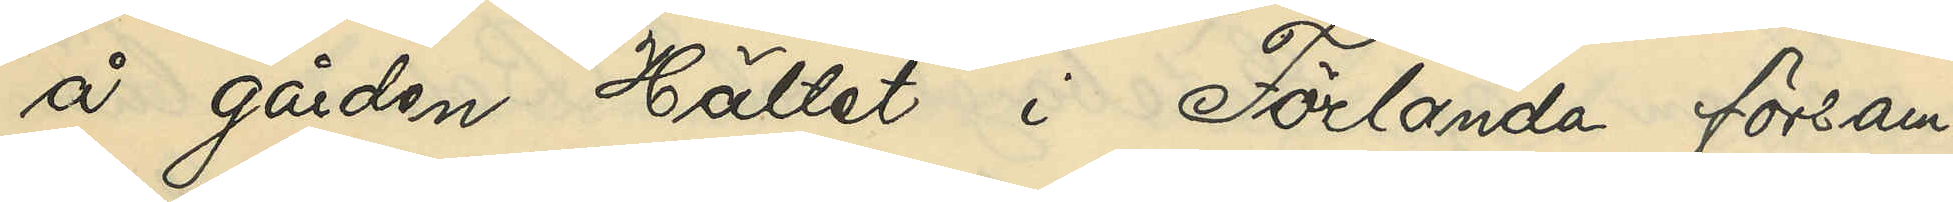å gården Hättet i Förlanda försam¬
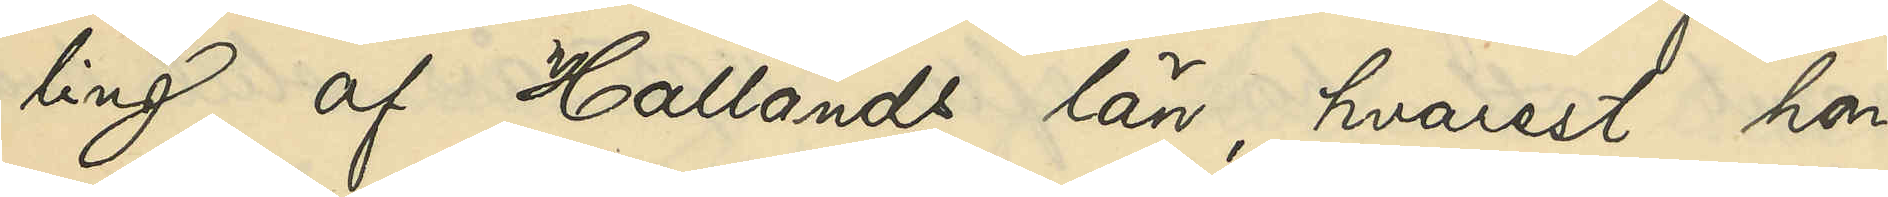ling af Hallands län, hvarest hon
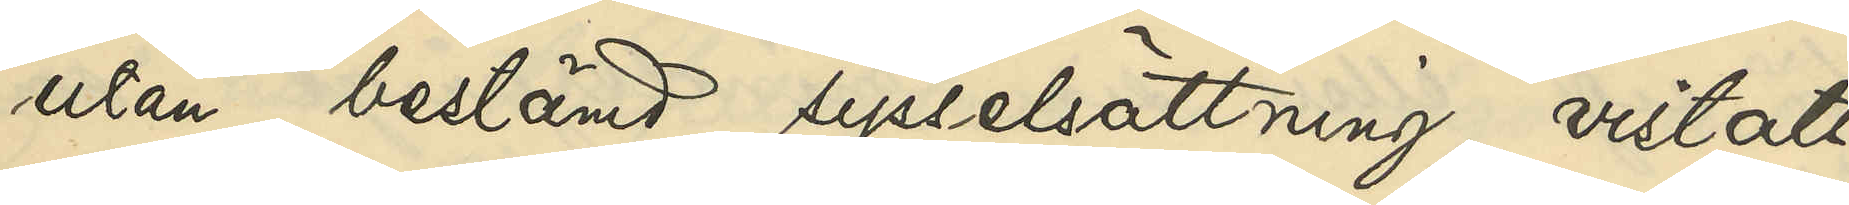utan bestämd sysselsättnning vistats
